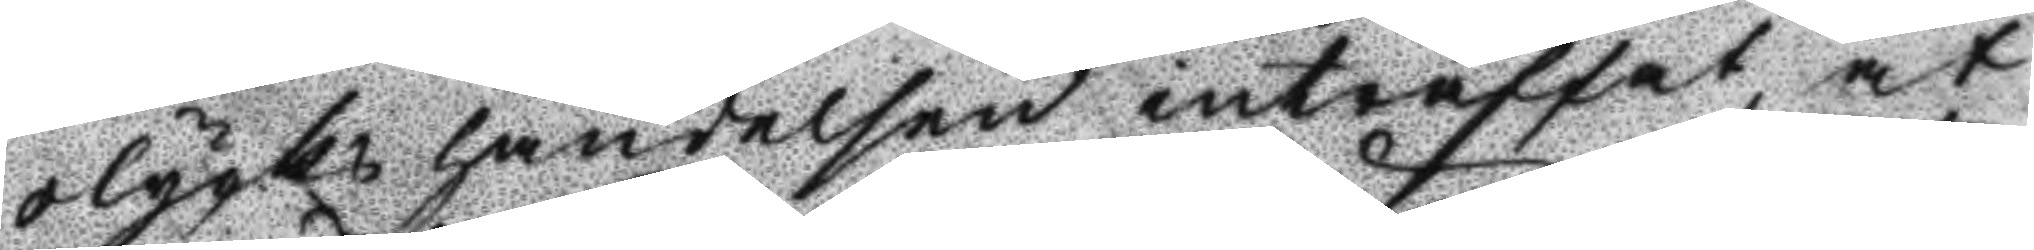olycks händelsen inträffat, at
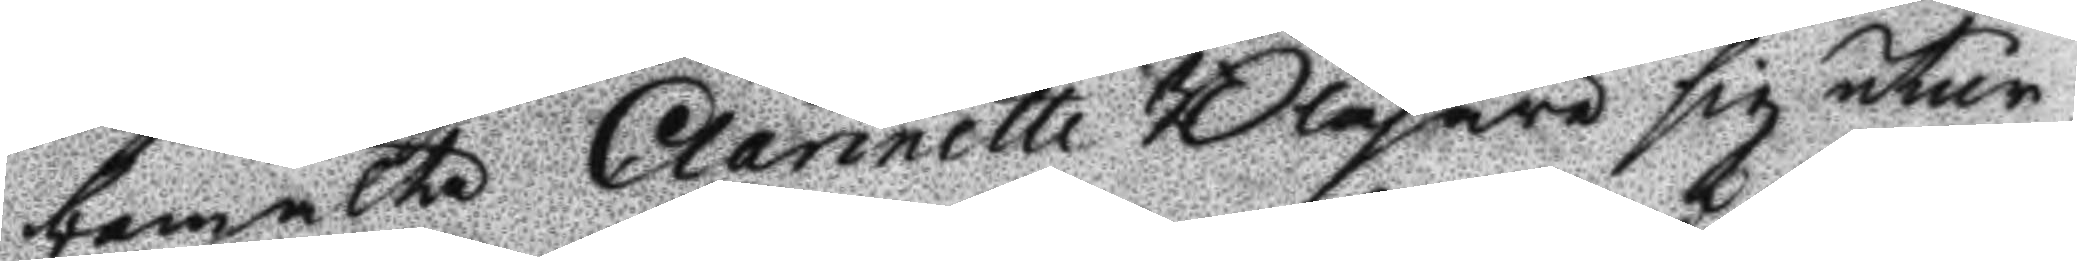bemälte Clarinette Blåsare sig utur
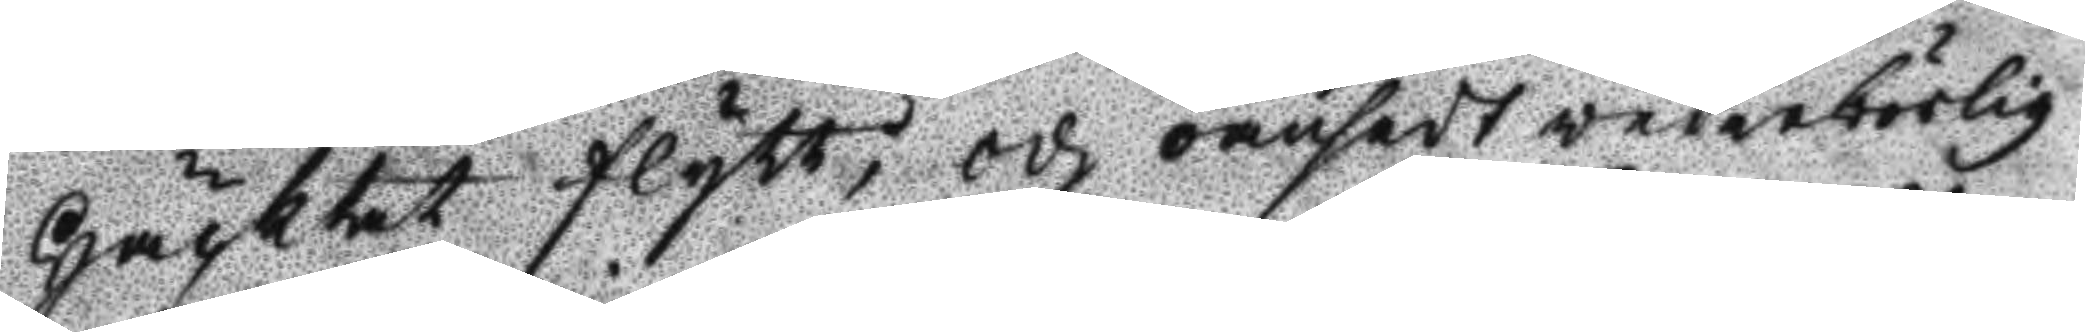häcktet flytt, och oansedt vederbörlig
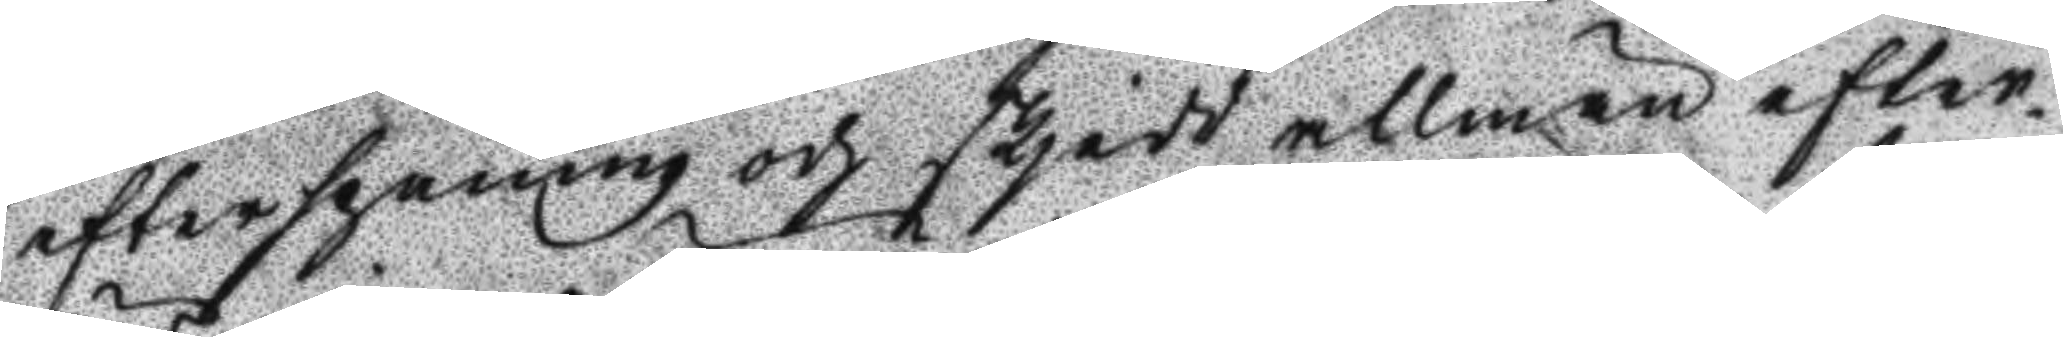efterspaning och skjedd allmän efter¬
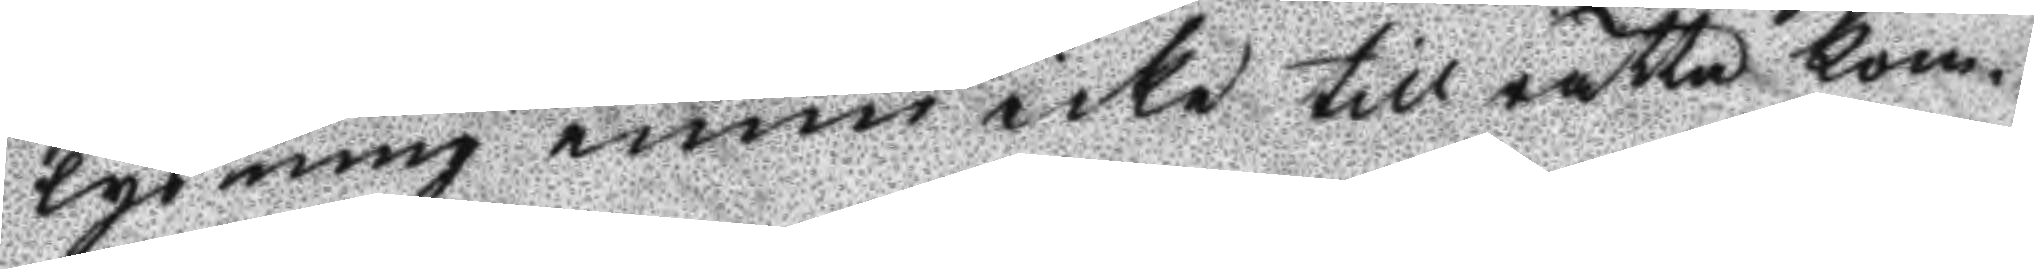lysning ännu icke till rätta kom¬
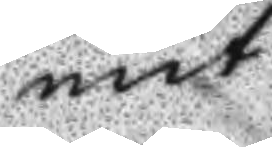mit.
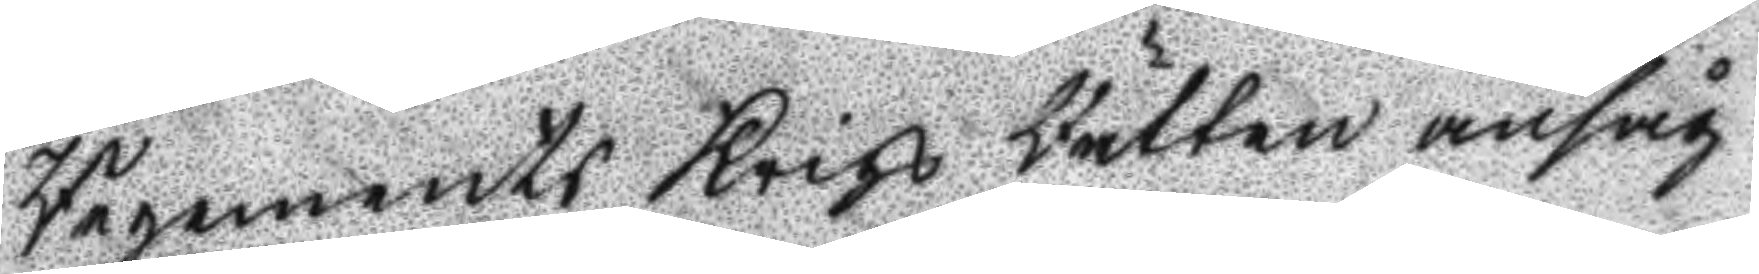Regements Krigs Rätten ansåg
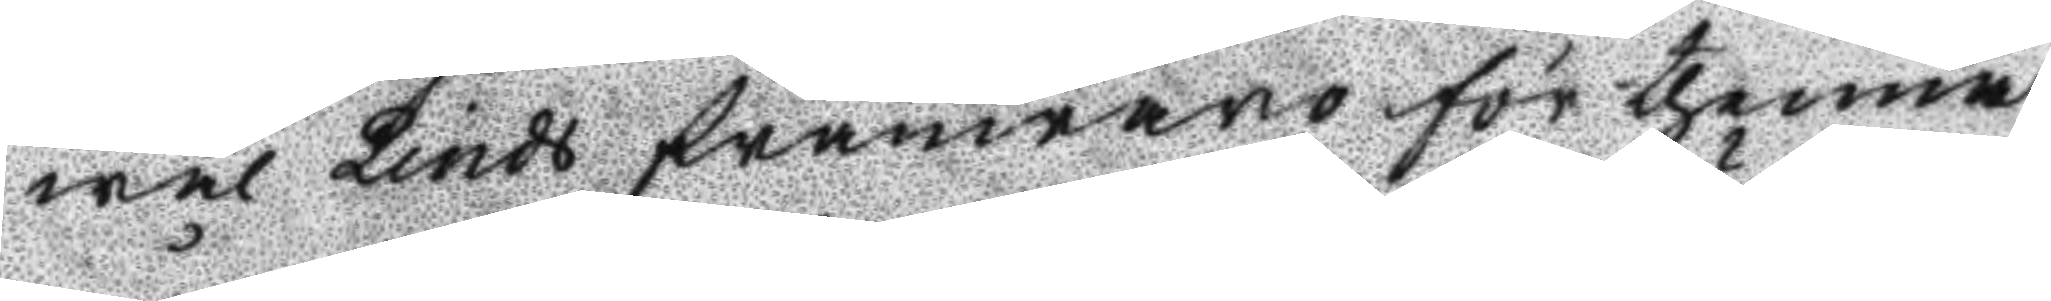wäl Linds frånwaro för thenna
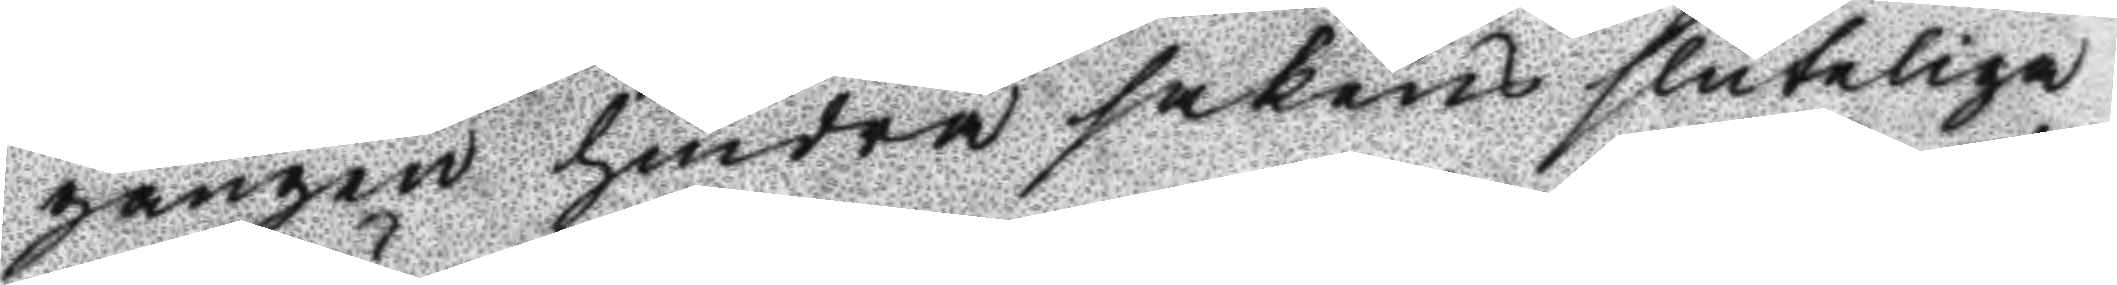gången hindra sakens sluteliga
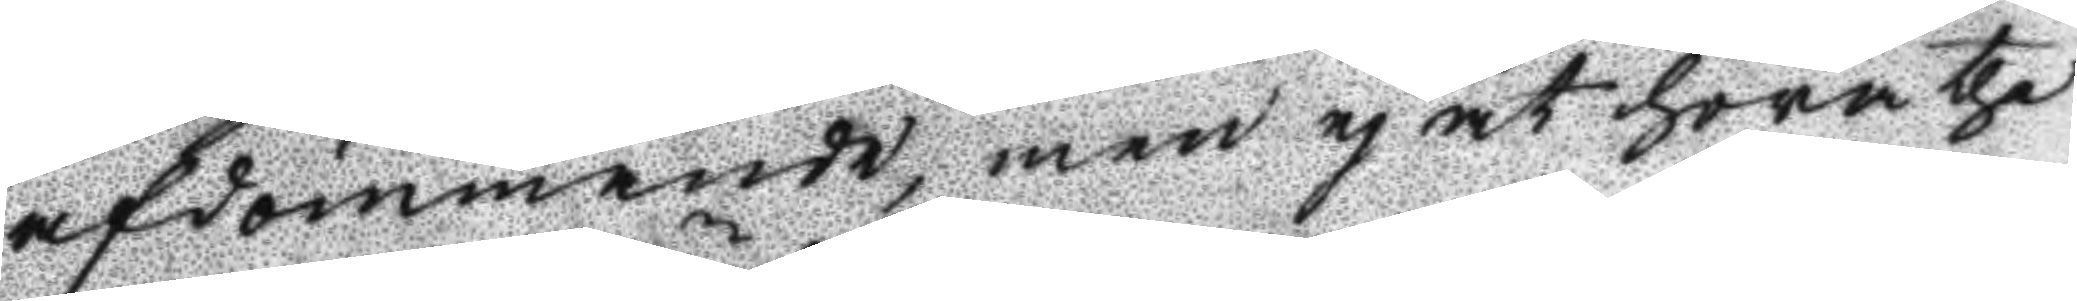afdömmande, men ej at höra the
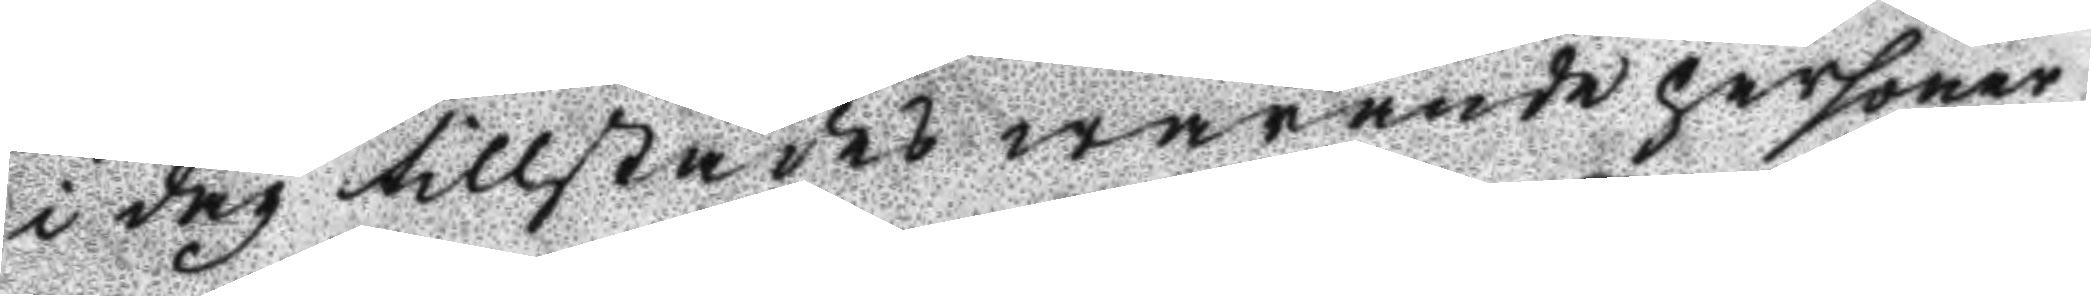i dag tillstädes warande personer
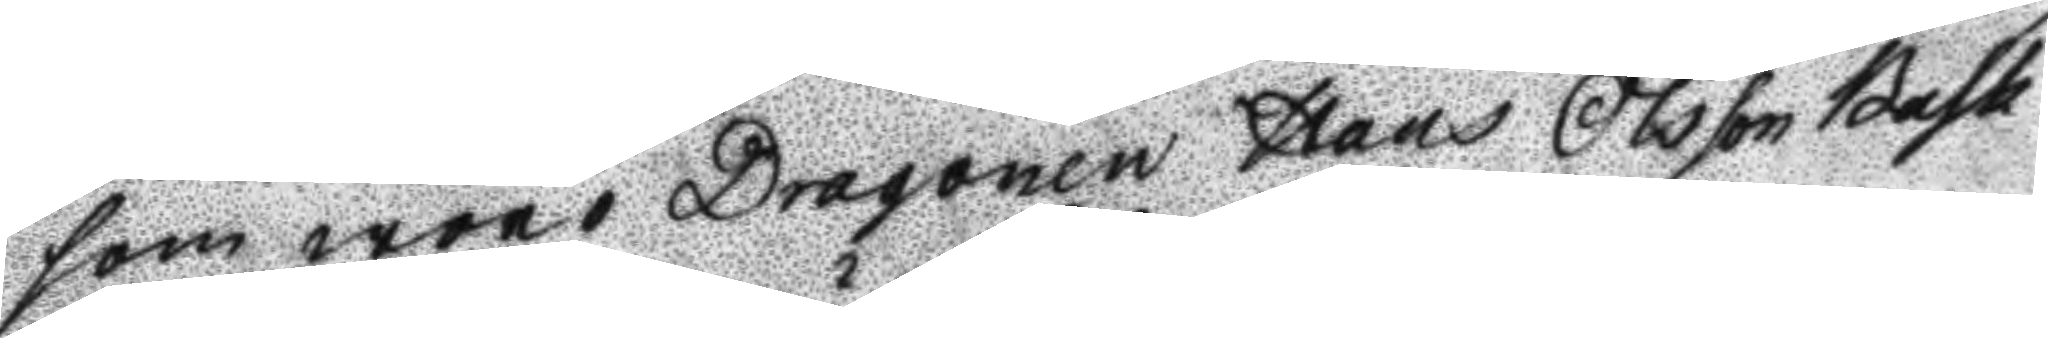som woro Dragonen Hans Olsson Bask
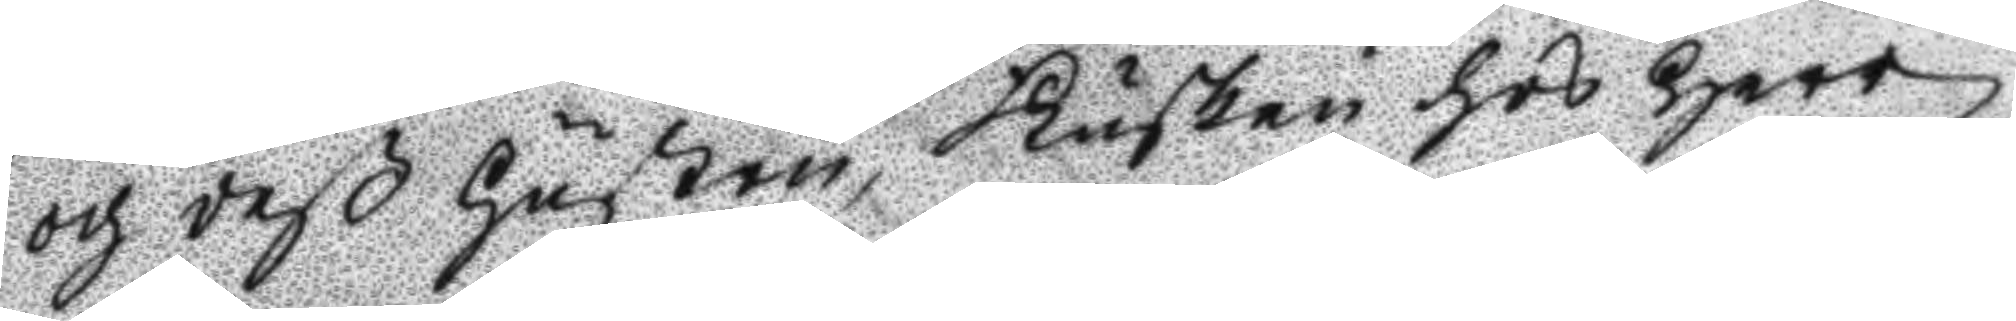och deß hustru, Kusken hos Herr
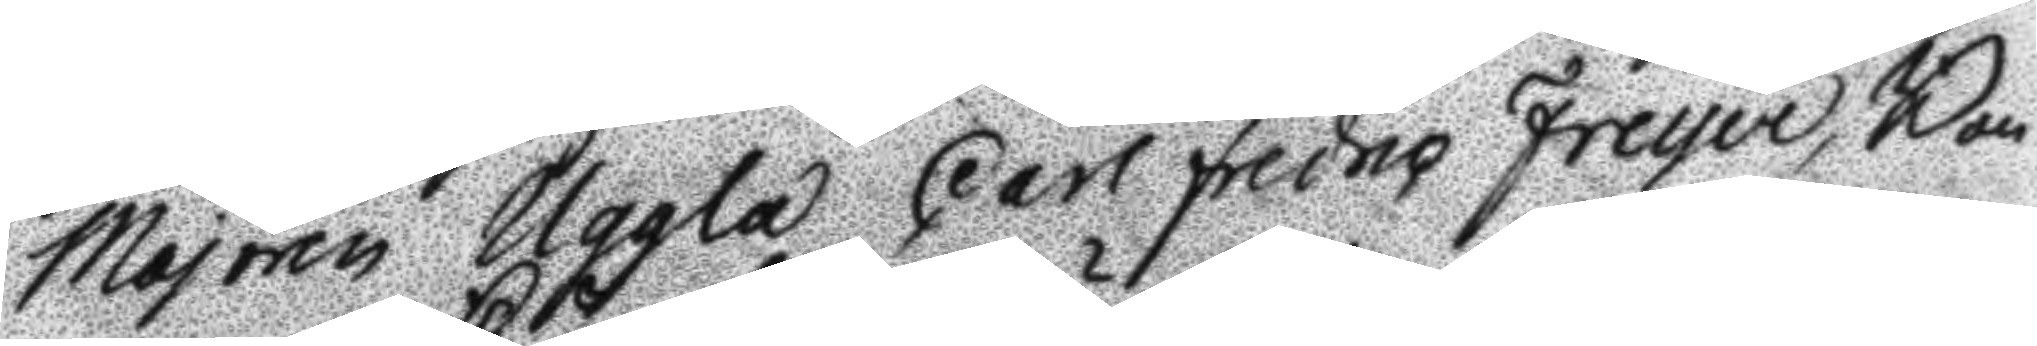Majoren Uggla Carl Freyce, Bon¬
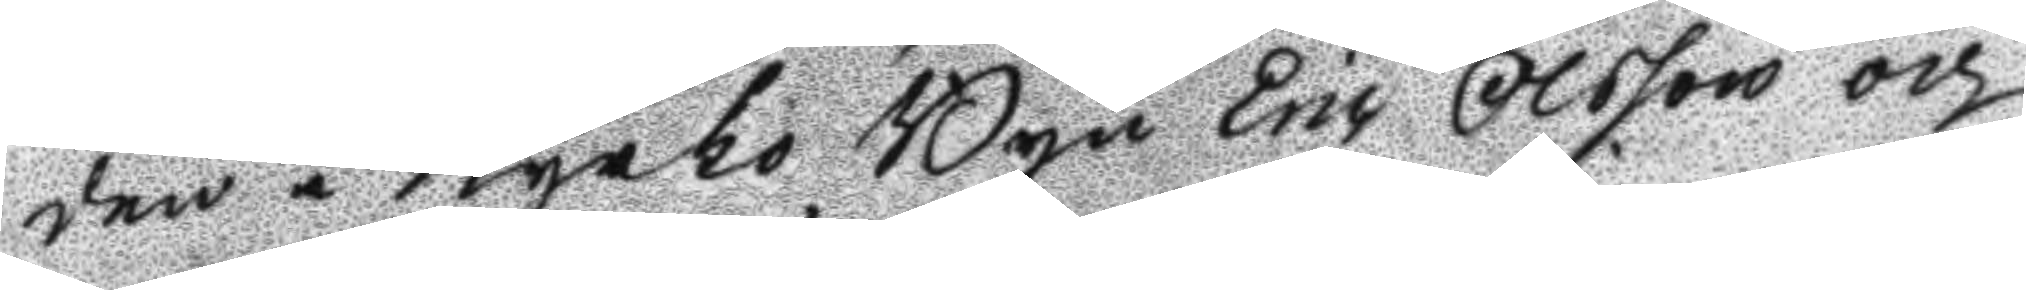den i Kyrko Byn Eric Olsson och
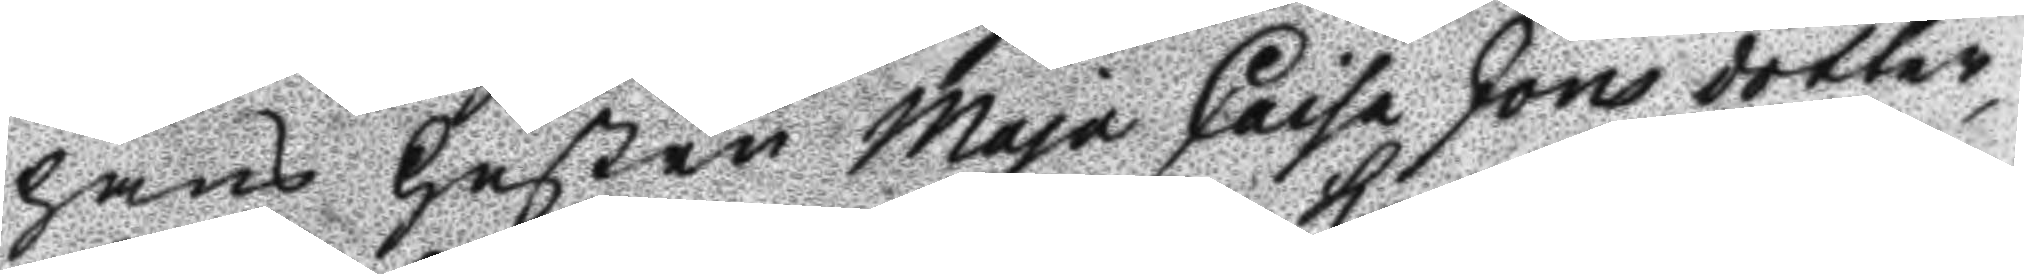hans hustru Maja Caisa Jonsdotter,
